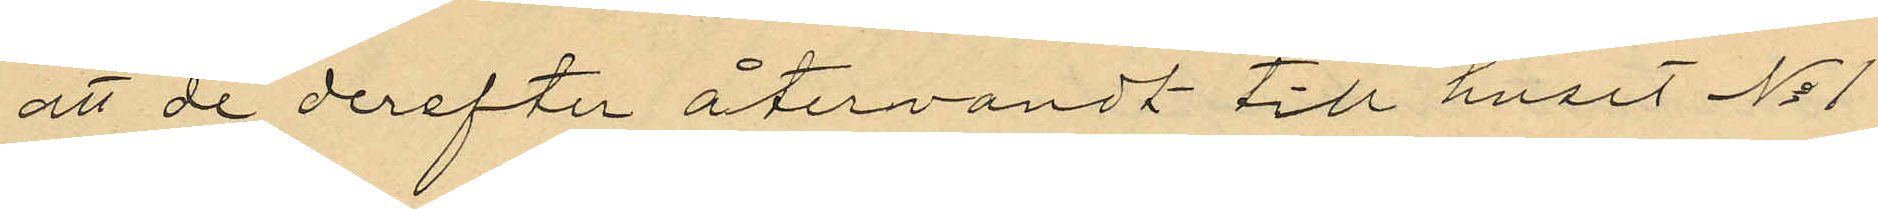att de derefter återvändt till huset No 1
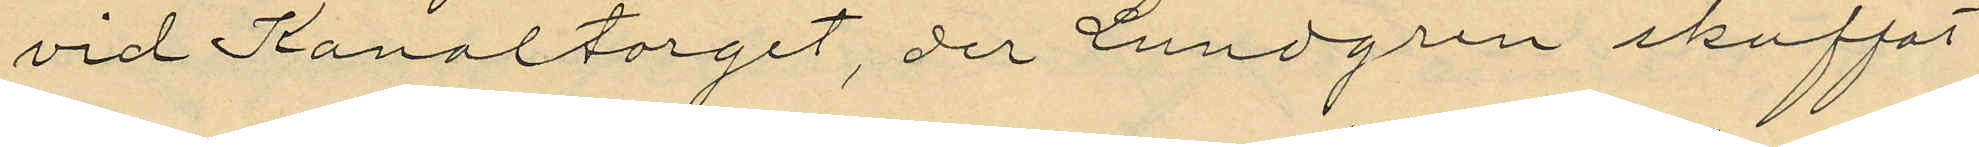vid Kanaltorget, der Lundgren skuffat
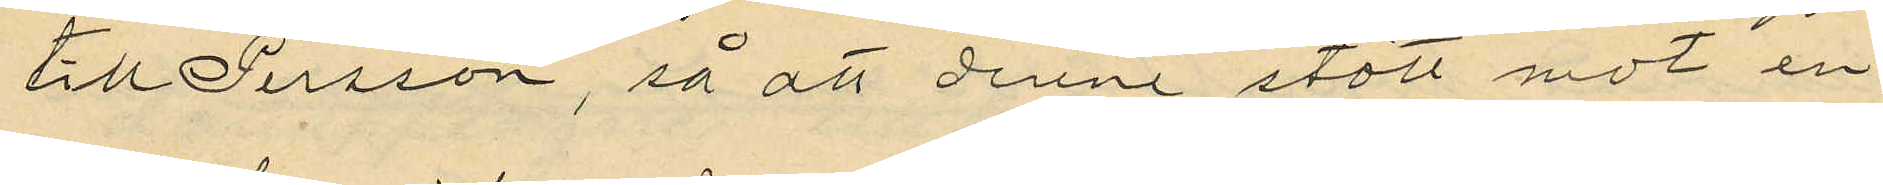till Persson, så att denne stött mot en
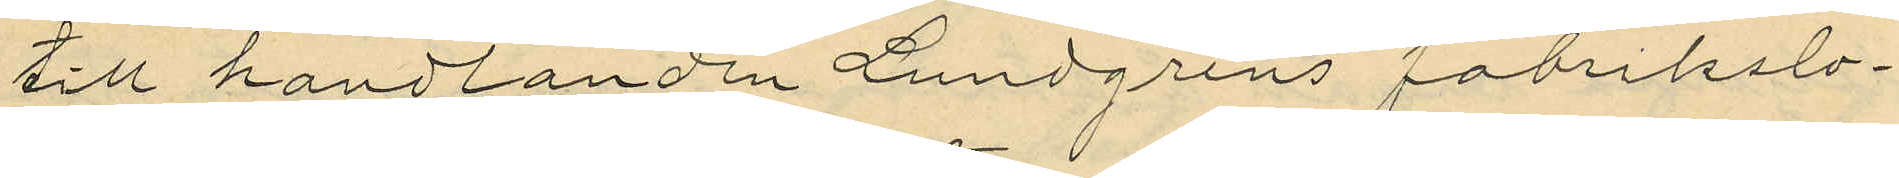till handlanden Lundgrens fabrikslo¬
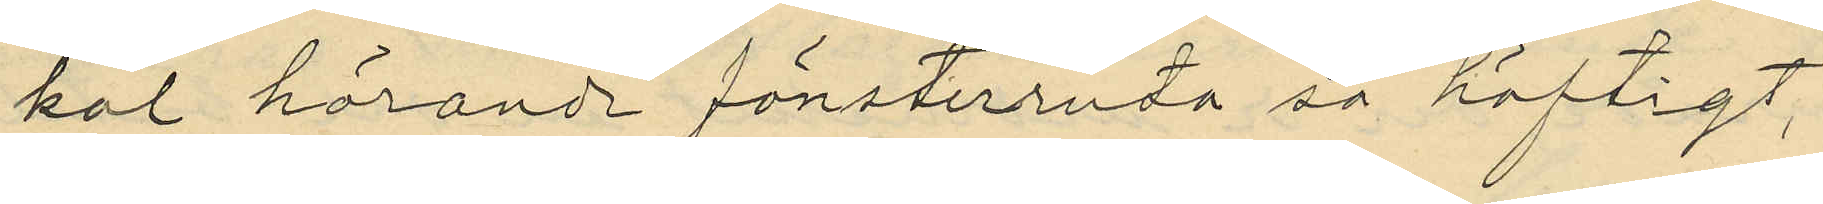kal hörande fönsterruta så häftigt,
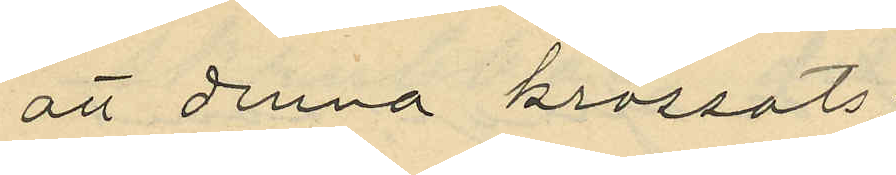att denna krossats;
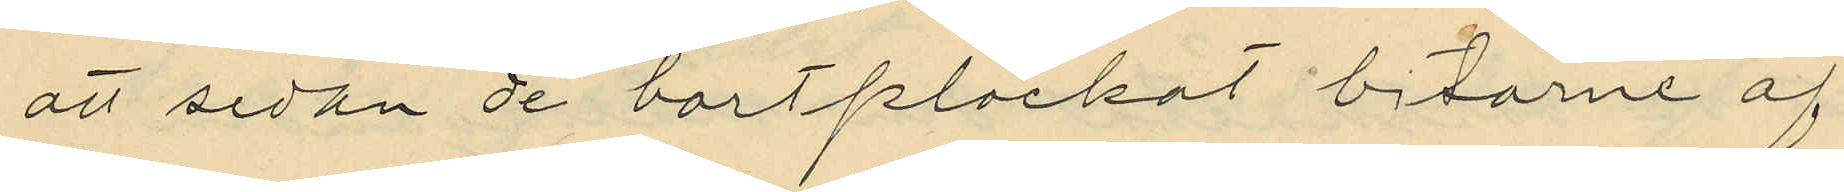att sedan de bortplockat bitarne af
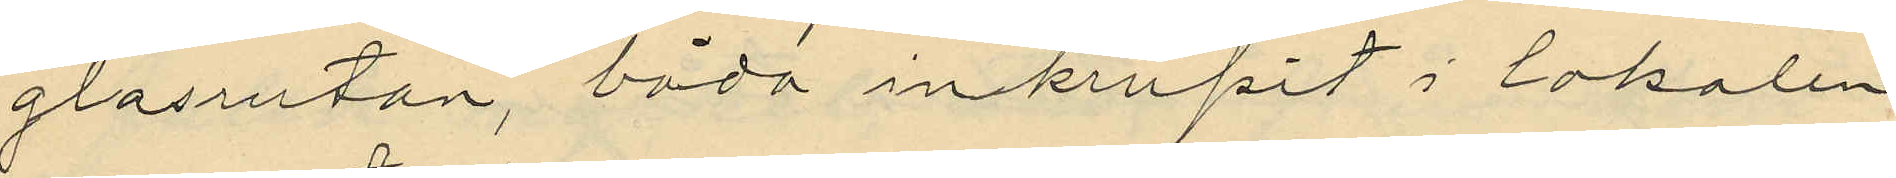glasrutan, båda inskrupit i lokalen
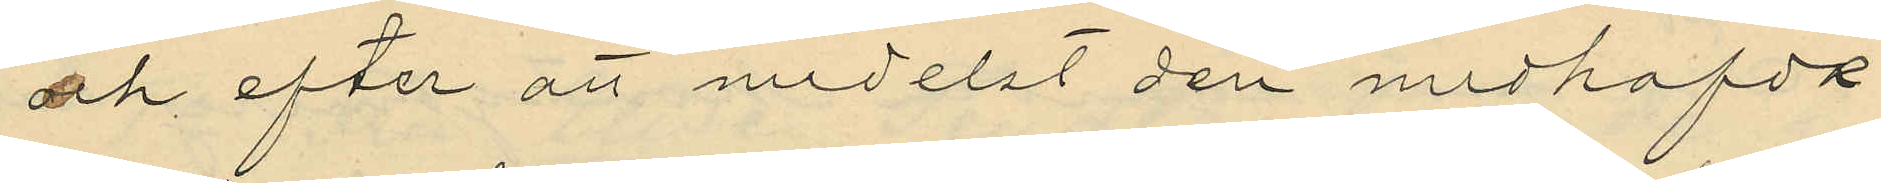och efter att medelst den medhafda
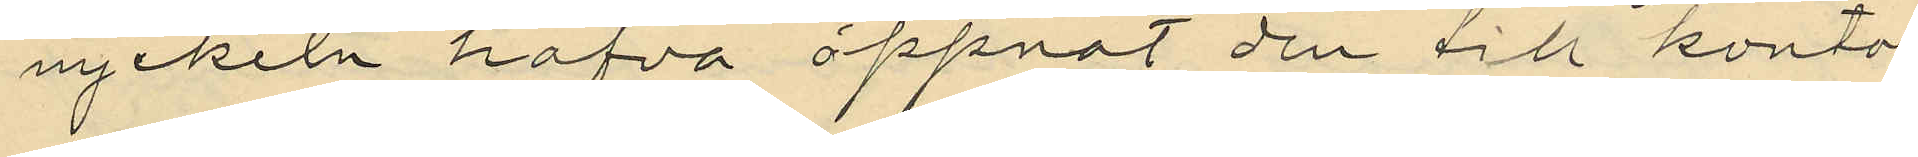nyckeln hafva öppnat den till konto¬
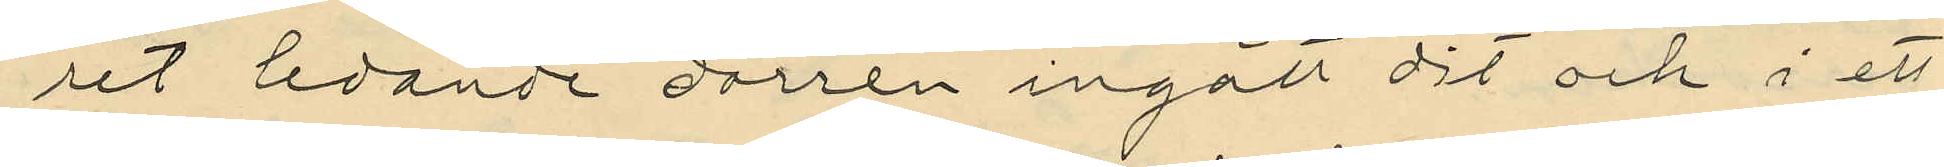ret ledande dörren ingått dit och i ett
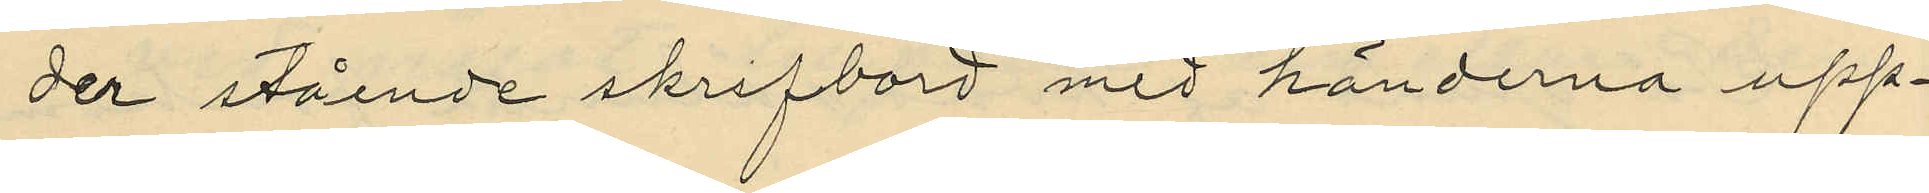der stående skrifbord med händerna upp¬
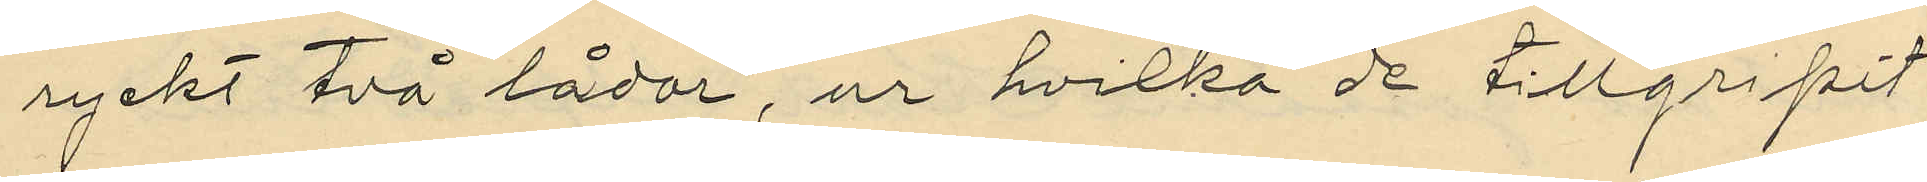ryckt två lådor, ur hvilka de tillgripit
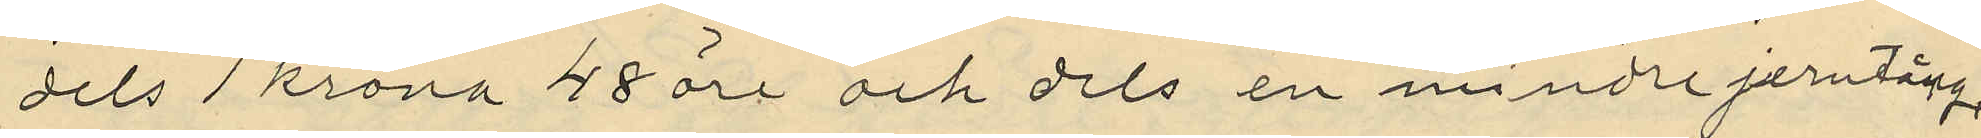dels 1 krona 45 öre och dels en mindre jerntång
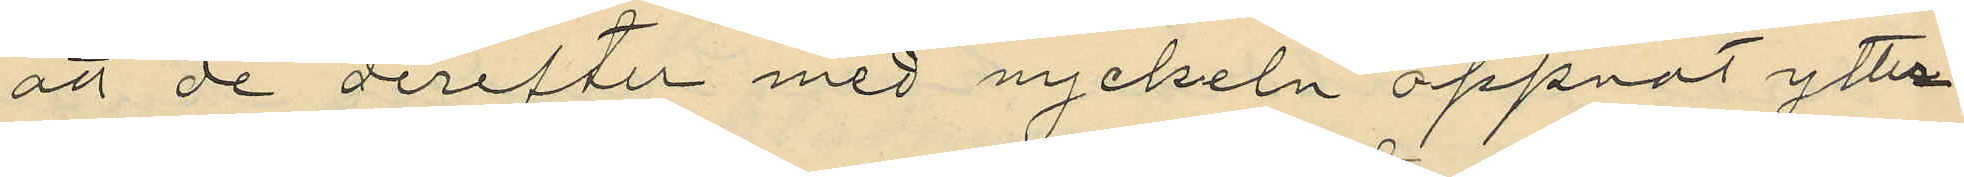att de derefter med nyckeln öppnat ytter
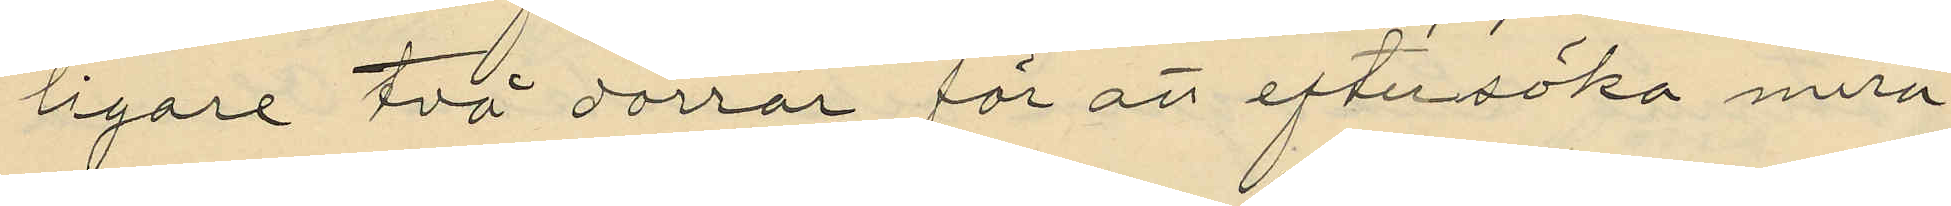ligare två dörrar för att eftersöka mera
